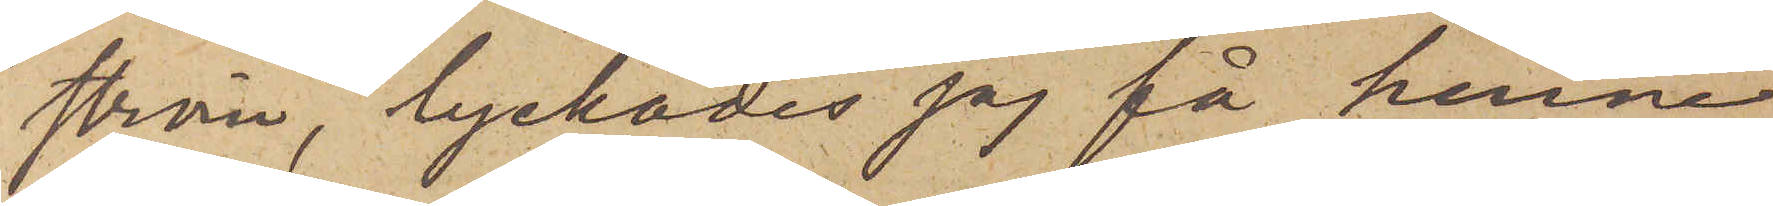ström, lyckades jag få henne
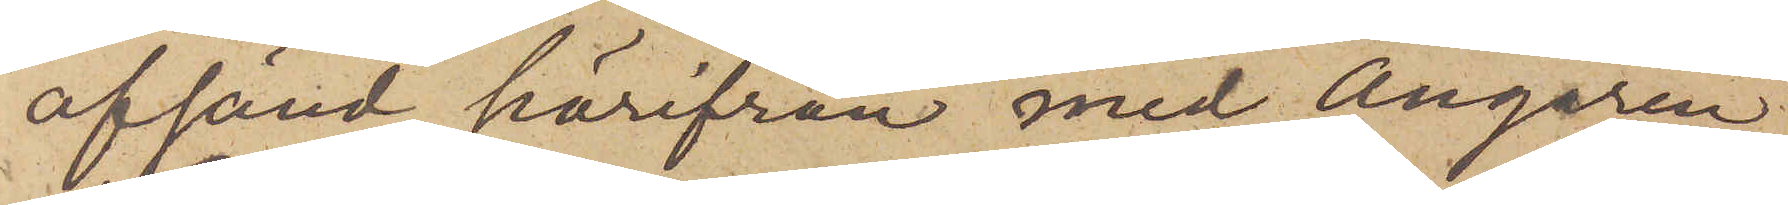afsänd härifrån med Ångaren
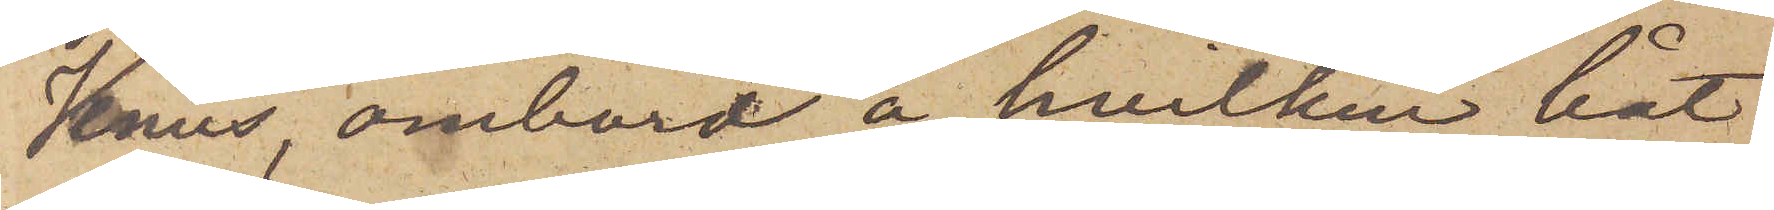Venus, ombord å hvilken båt
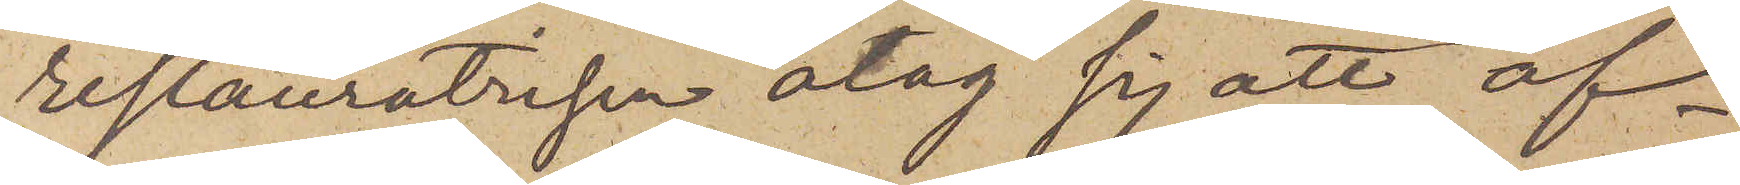restauratrisen åtog sig att af¬
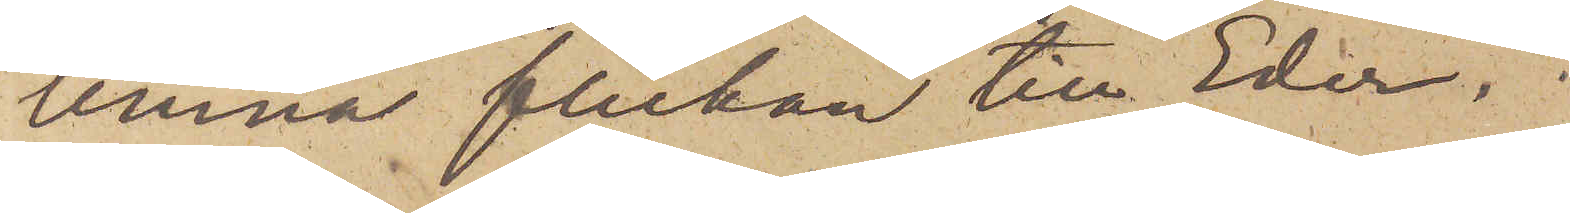lemna flickan till Eder.
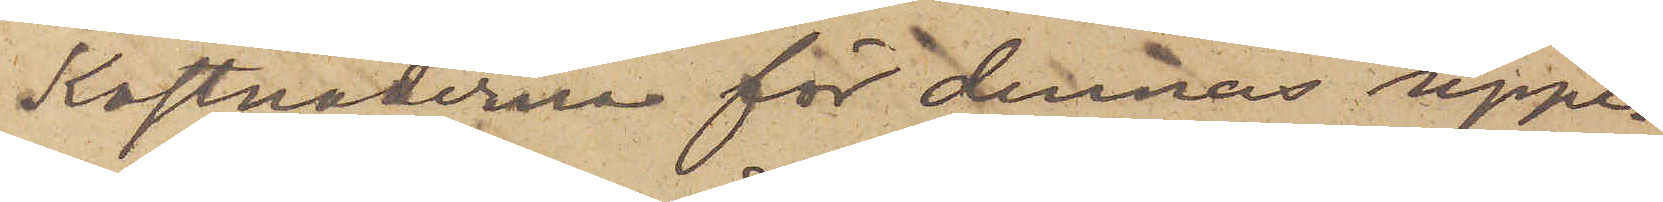Kostnaderna för dennas uppe¬
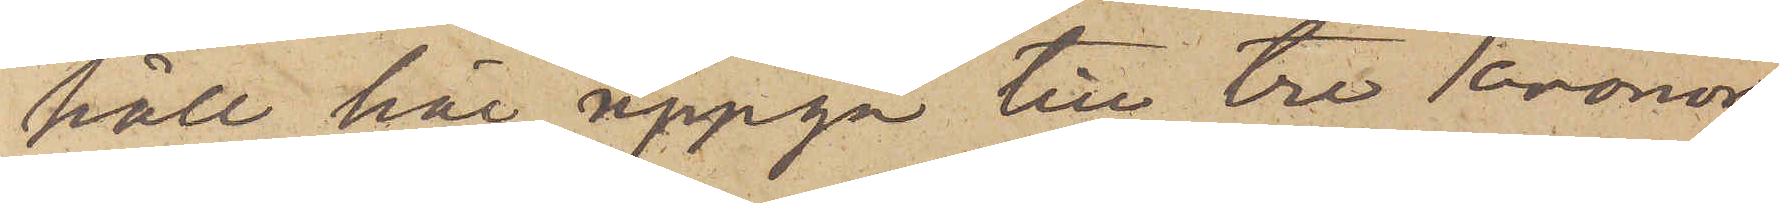håll här uppgå till tre Kronor,
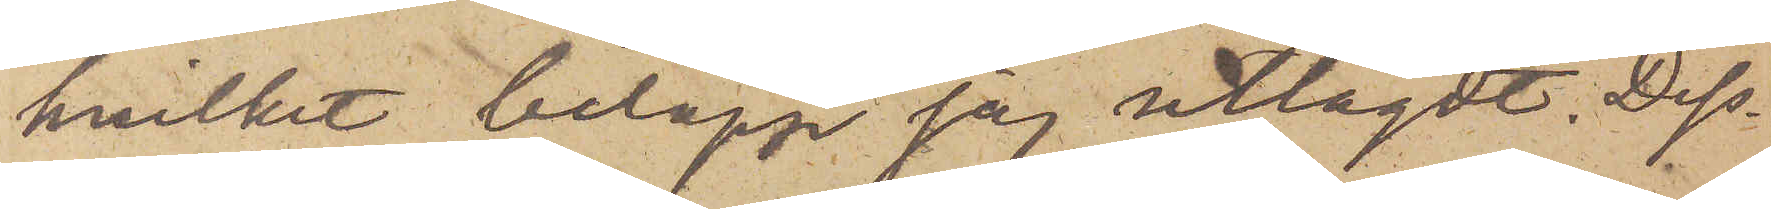hvilket belopp jag utlagdt. Dess¬
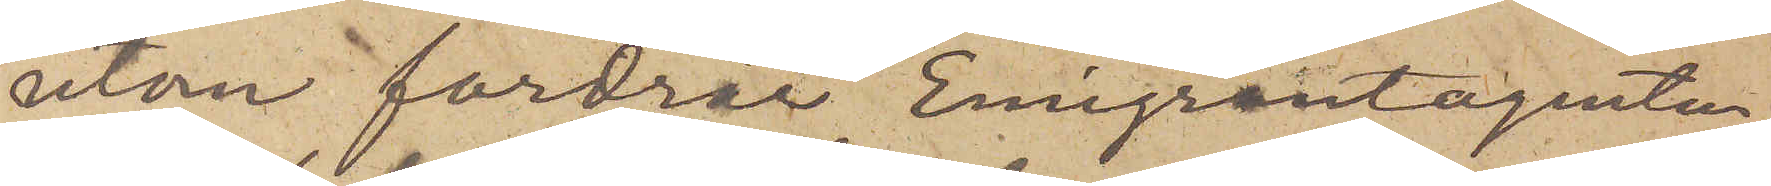utom fordrar Emigrantagenten,
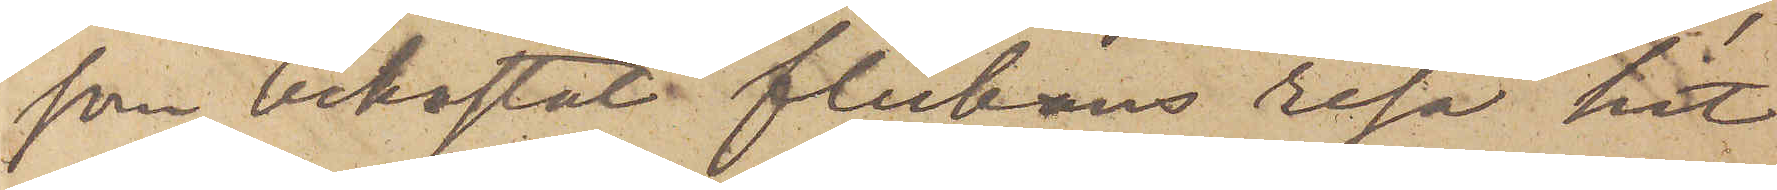som bekostat flickans resa hit
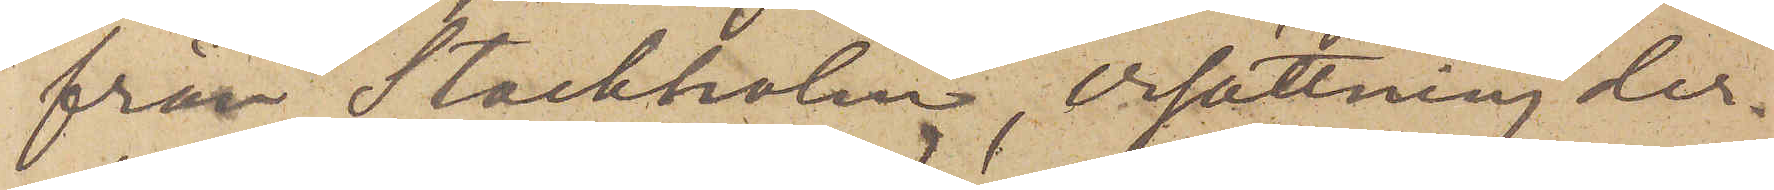från Stockholm, ersättning der¬
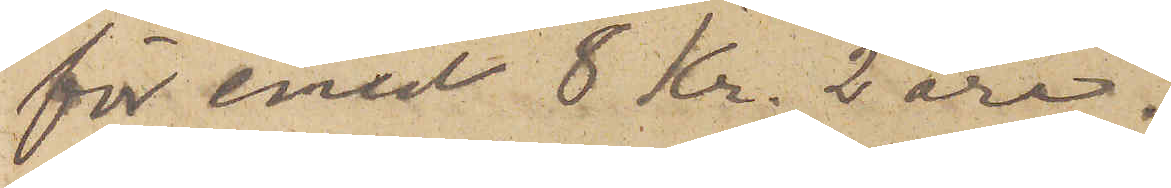för med 8 Kr. 2 öre.
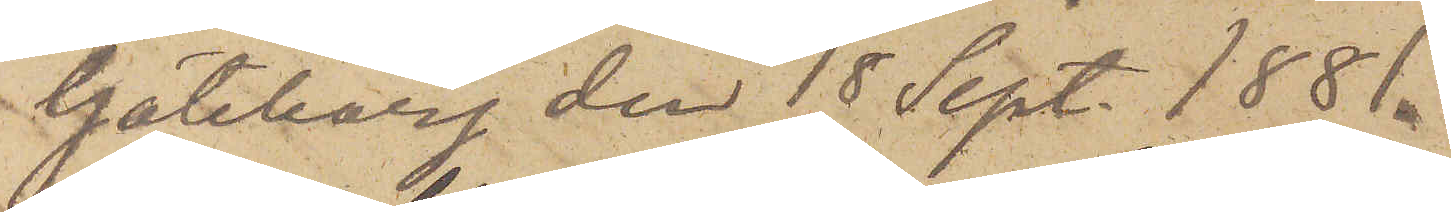Göteborg den 18 Sept. 1881.
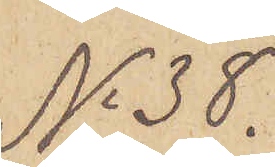No 38.
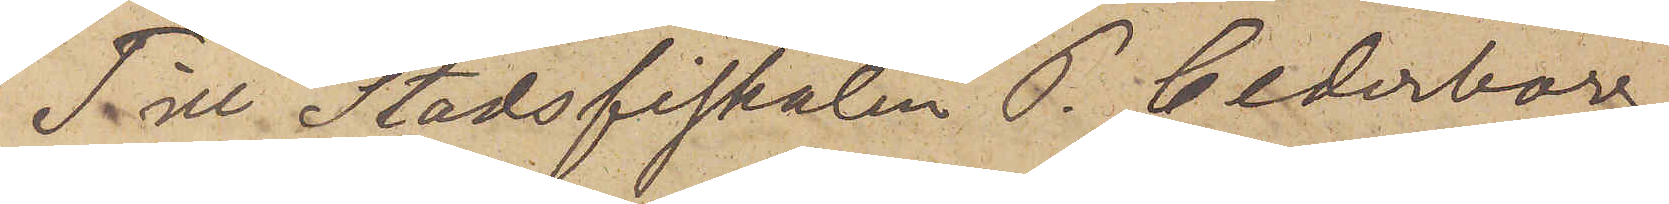Till Stadsfiskalen P. Cederborg
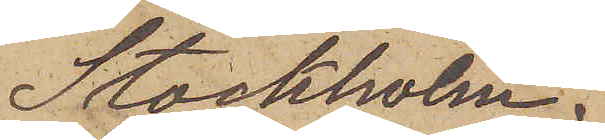Stockholm.
